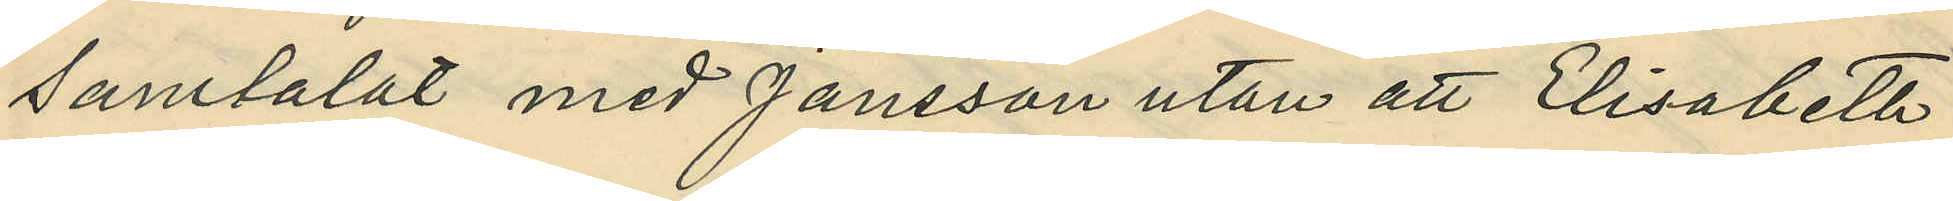samtalat med Jansson utan att Elisabeth
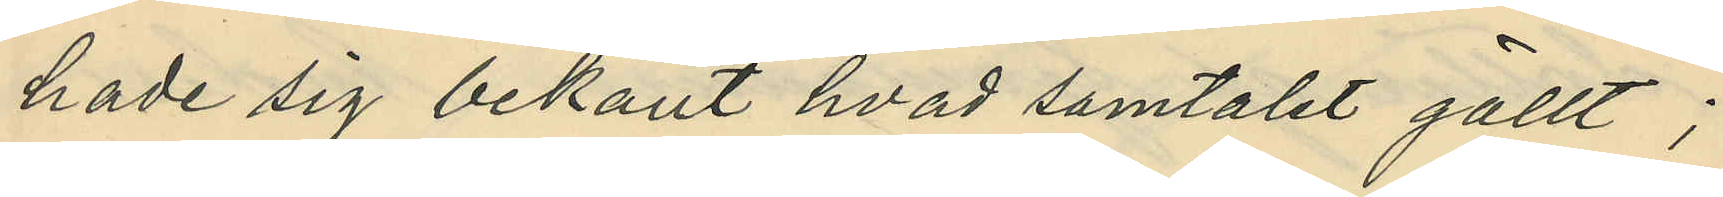hade sig bekant hvad samtalet gällt;
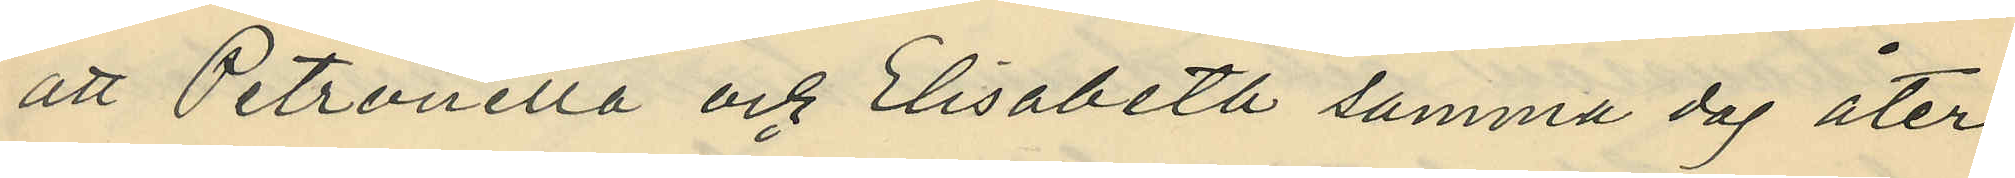att Petronella och Elisabeta samma dag åter¬
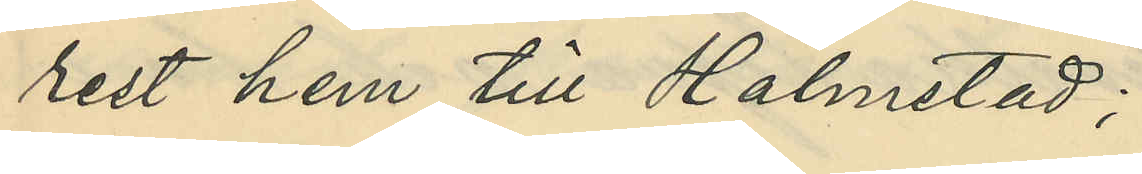rest hem till Halmstad;
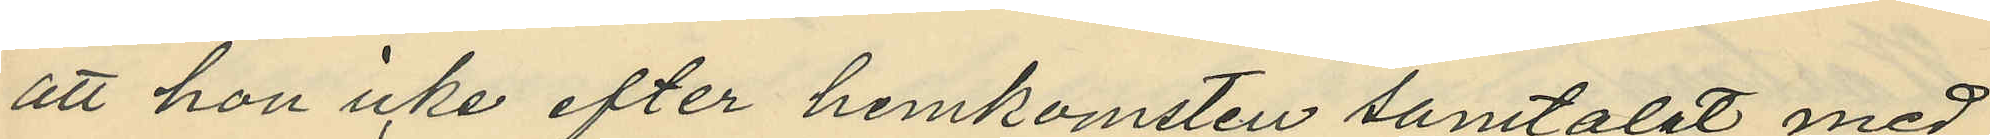att hon icke efter hemkomsten samtalat med
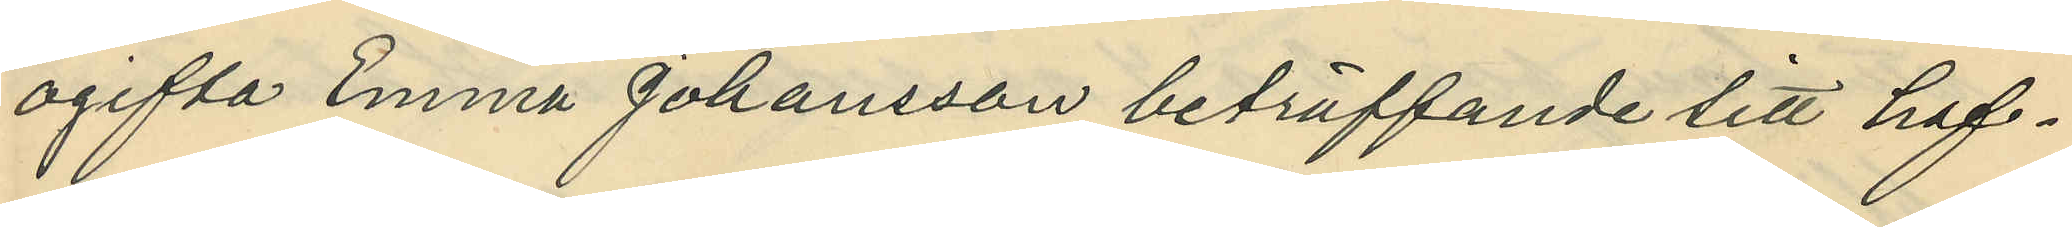ogifta Emma Johansson beträffande till haf¬
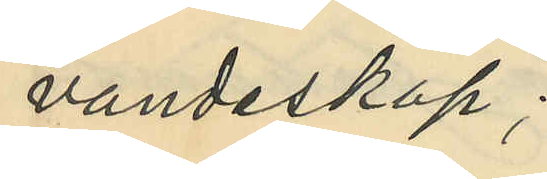vandeskap;
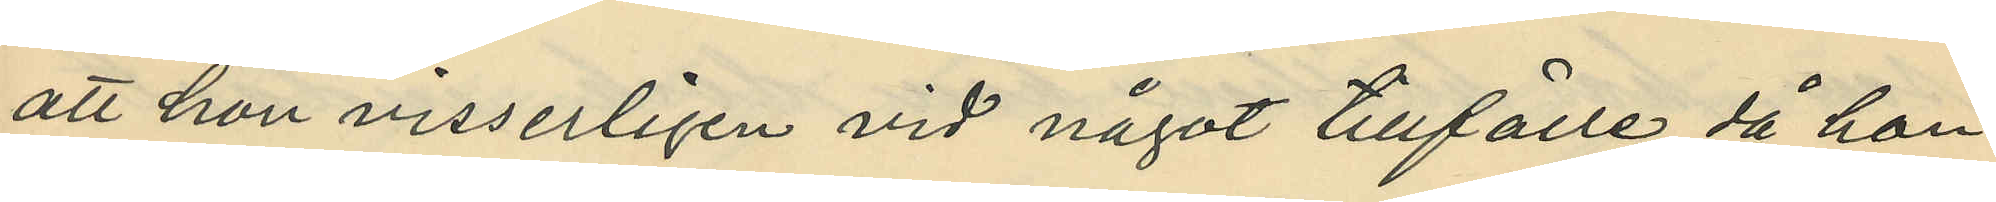att hon visserligen vid något tillfälle då hon
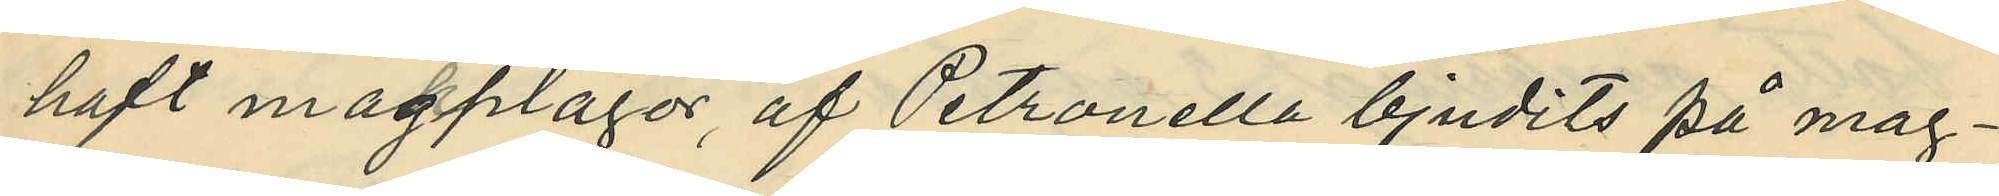haft magplågor af Petronella bjudits på mag¬
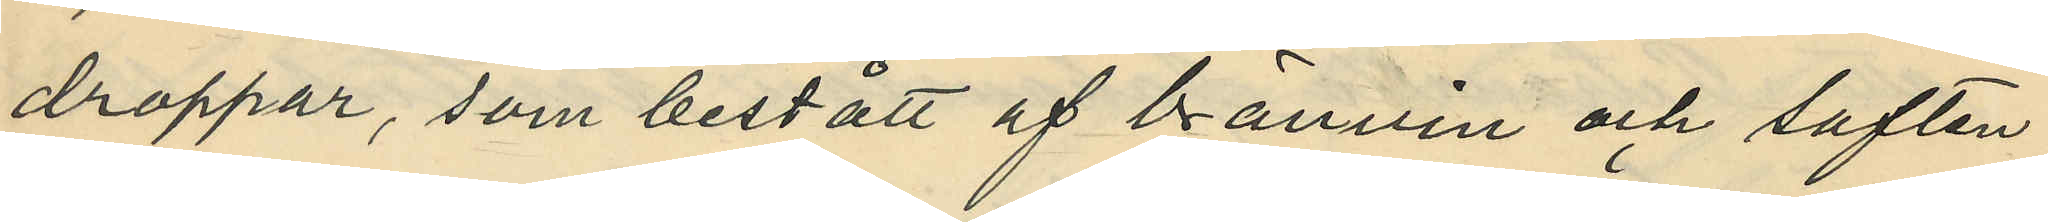droppar, som bestått af bränvin och saften
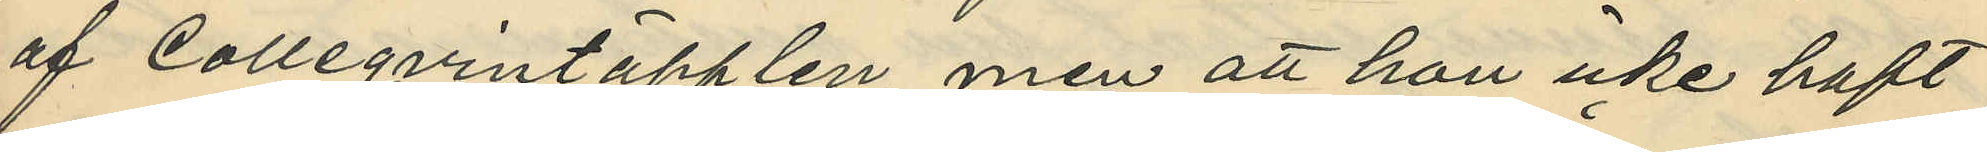af Colleqvintäpplen, men att hon icke haft
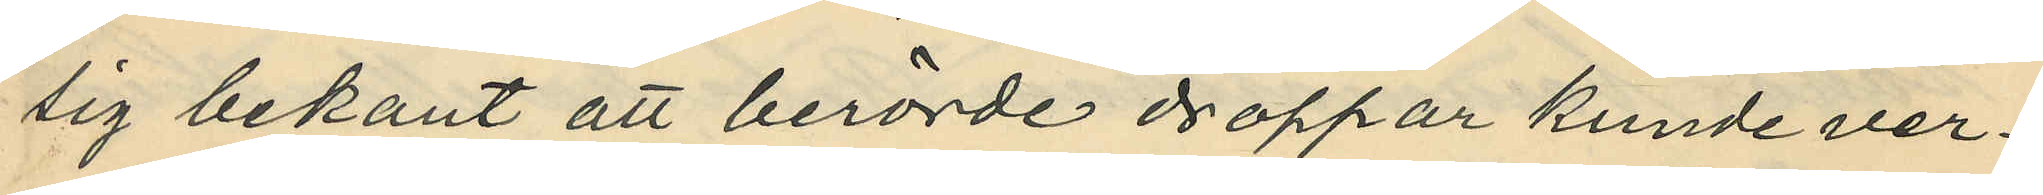sig bekant att berörde droppar kunde ver¬
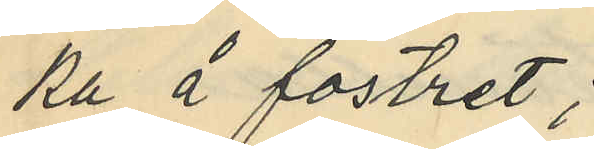ka å fostret;
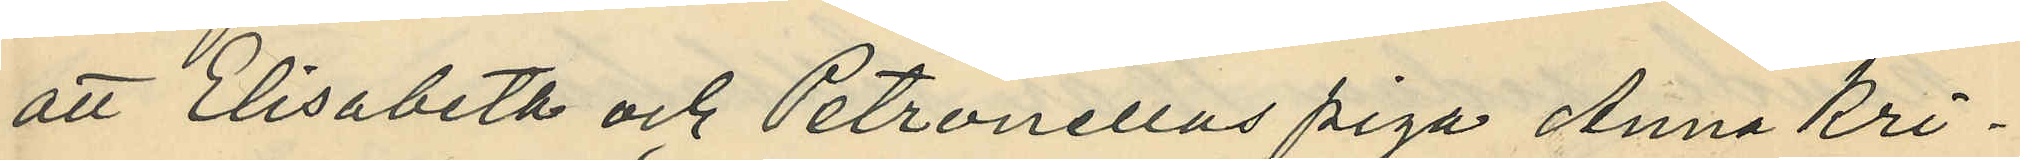att Elisabeth och Petronellas piga Anna Kri¬
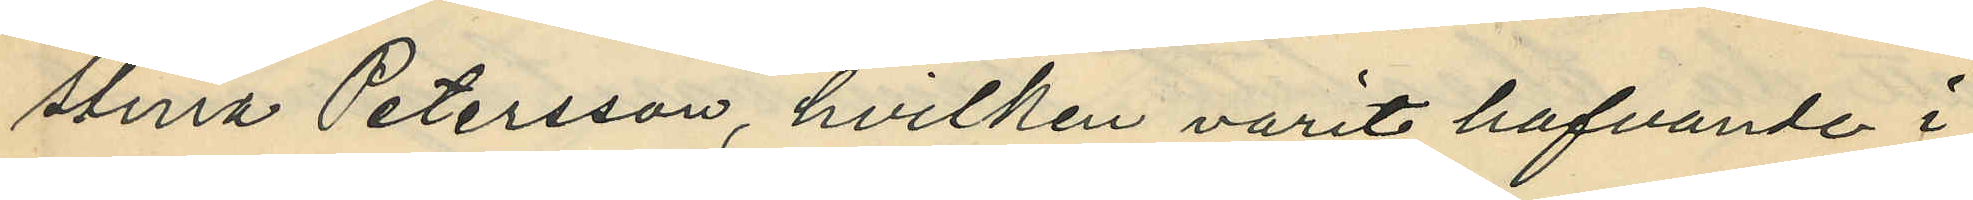stina Petersson, hvilken varit hafvande i
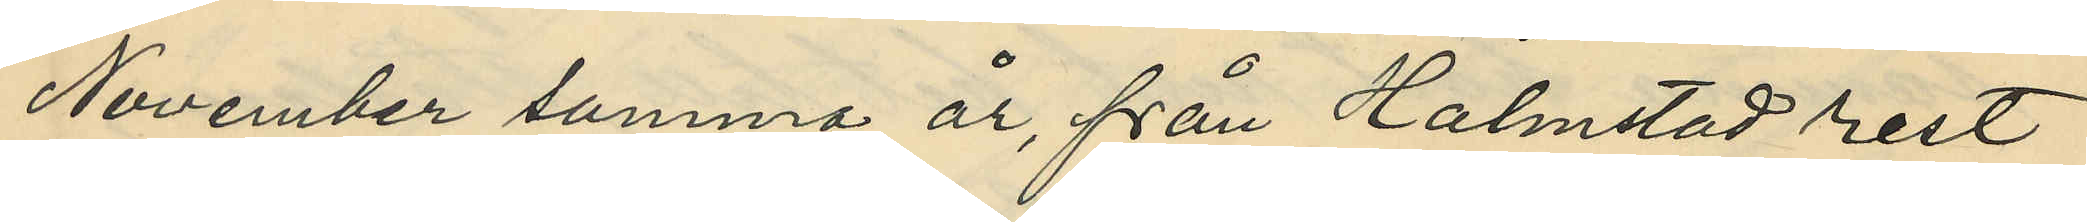November samma år, från Halmstad rest
